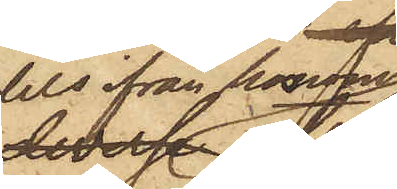dels ifrån honom
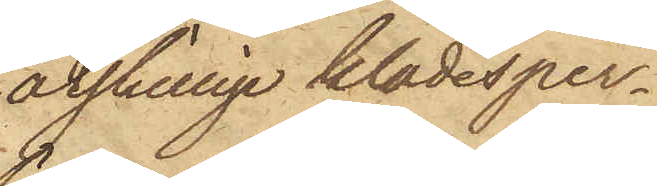åtskillige klädesper¬
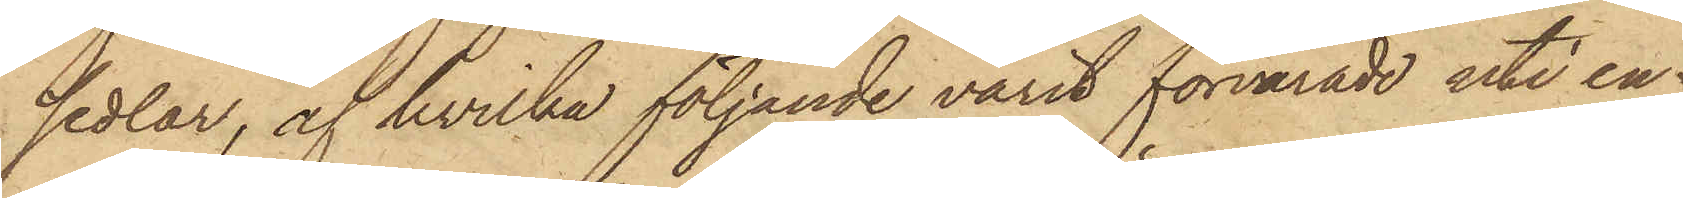sedlar, af hvilka följande varit förvarade uti en
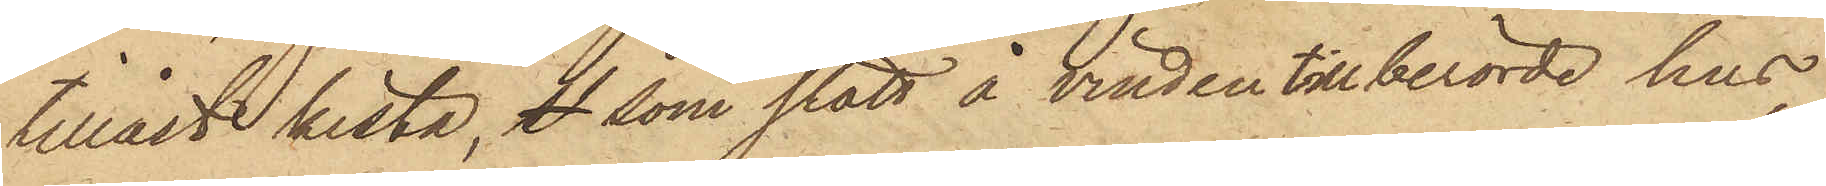tillåst kista, S som stått å vinden till berörde hus,
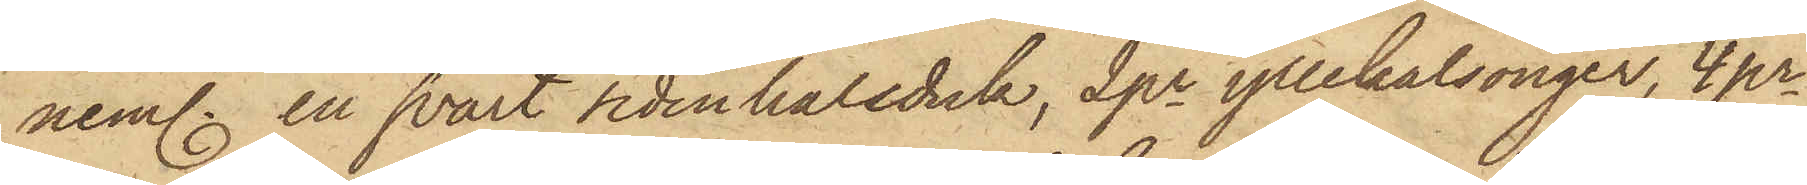neml. en svart sidenhalsduk, 2 pr yllekalsonger, 4 pr
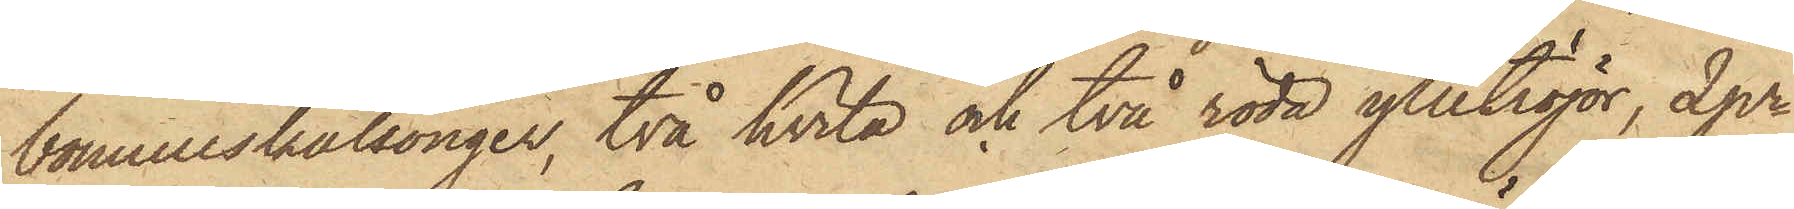bomullskalsonger, två hvita och två röda ylletröjor, 2 pr
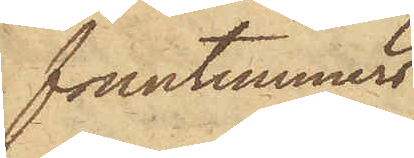fruntimmers¬
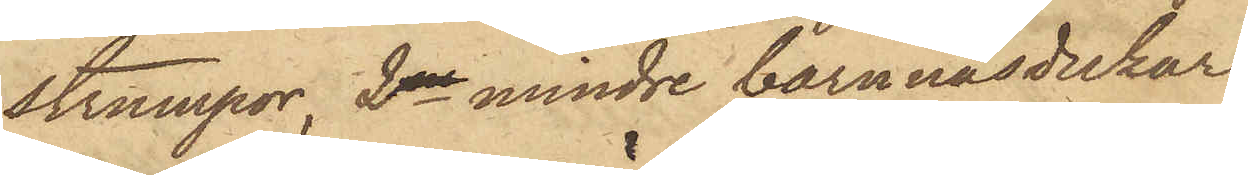strumpor, 2ne mindre barnnäsdukar,
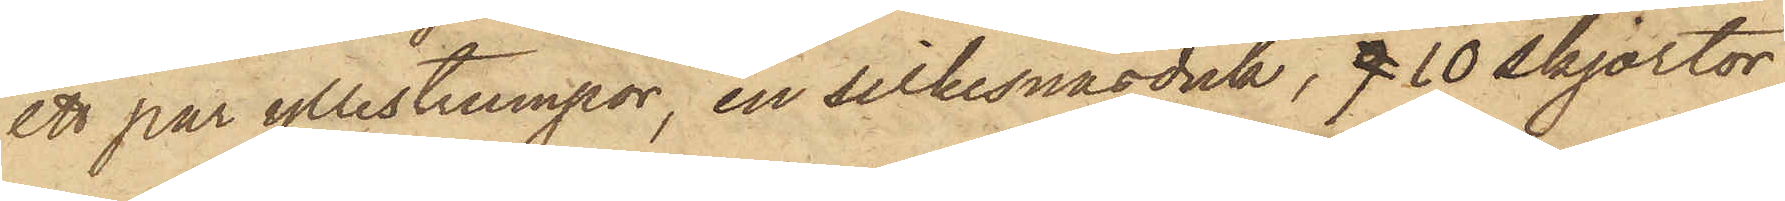ett par yllestrumpor, en silkesnäsduk, 9 10 skjortor,
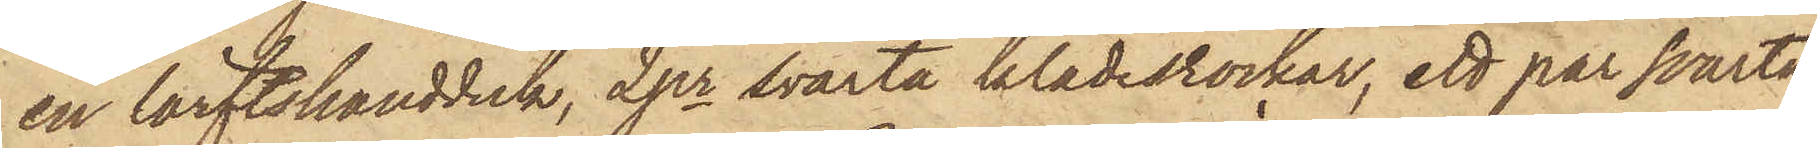en lärftshandduk, 2 pr svarta klädesrockar, ett par svarta
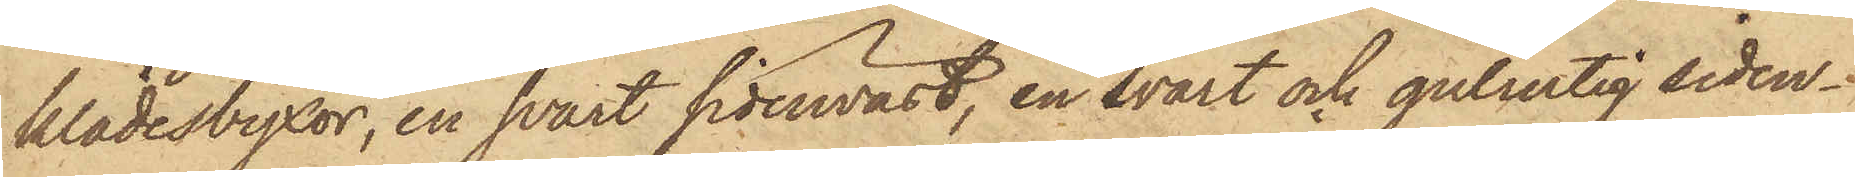klädesbyxor, en svart sidenväst, en svart och gulrutig siden¬
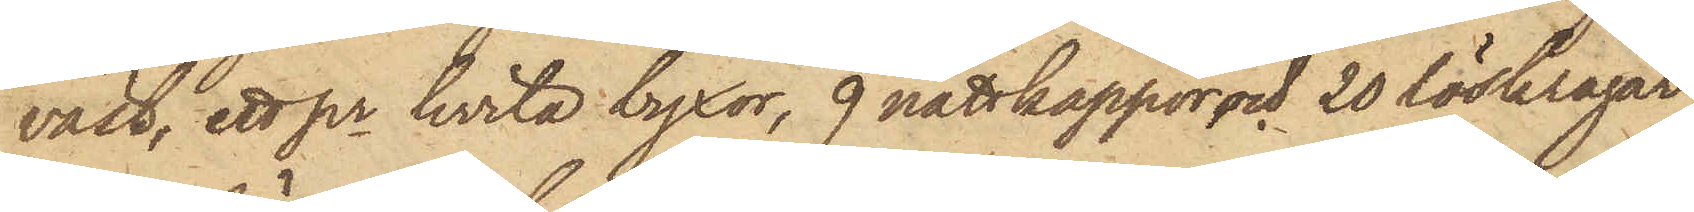väst, ett pr hvita byxor, 9 nattkappor och 20 löskragar
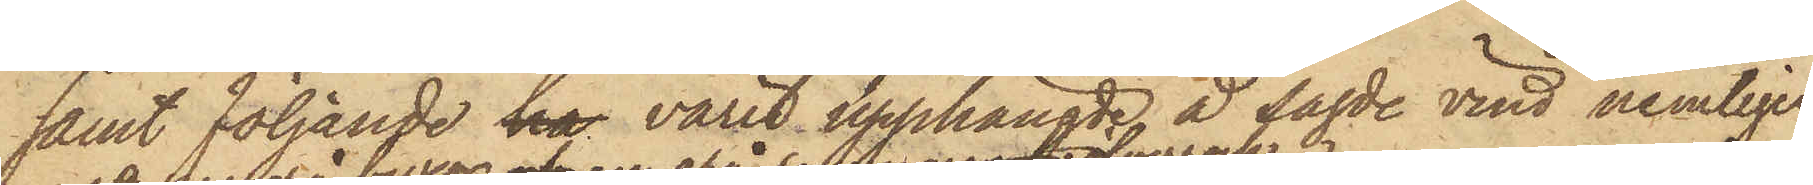samt följande ha varit upphängde å sagde vind nemligen
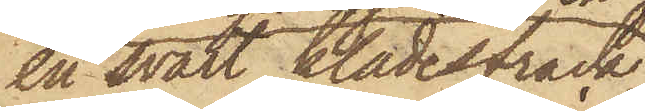en svart klädesfrack
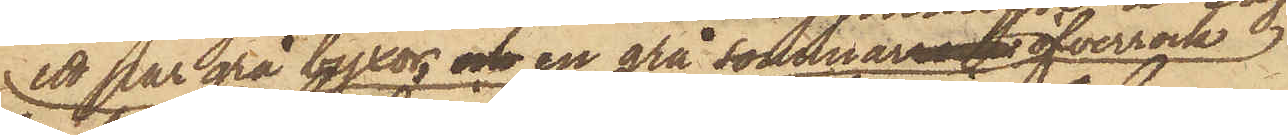ett par grå byxor, och en grå sommarrock öfverrock 
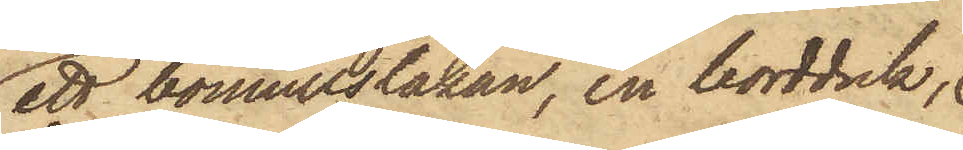ett bomullslakan, en bordduk,
